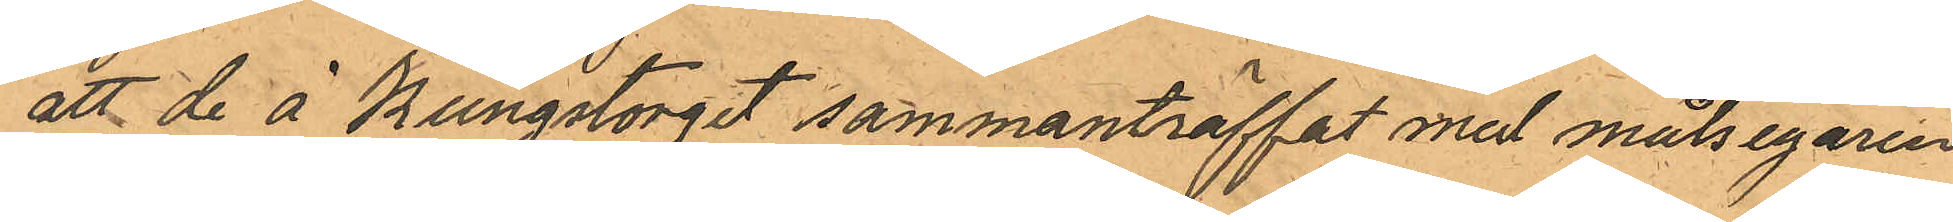att de å Kungstorget sammanträffat med målsegaren
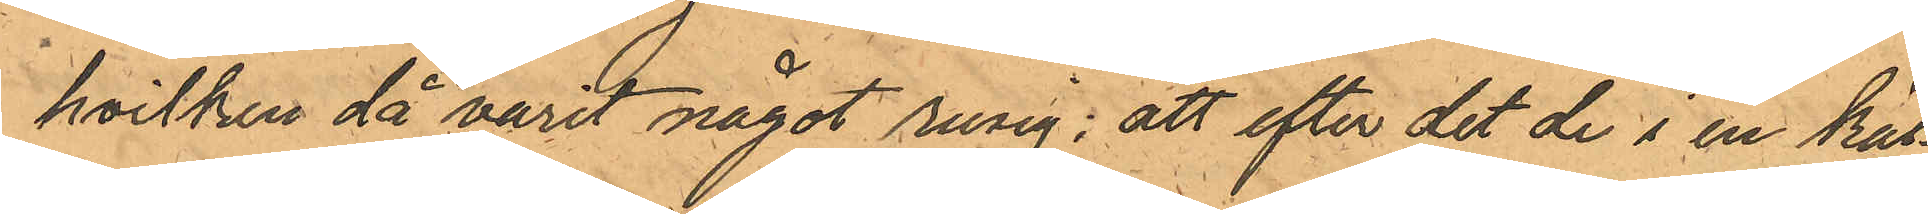hvilken då varit något rusig; att efter det de i en käl¬
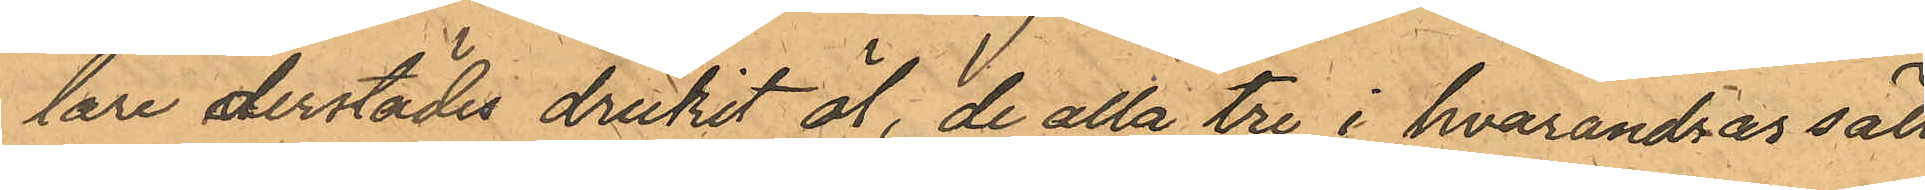lare derstädes drukit öl, de alla tre i hvarandras säll
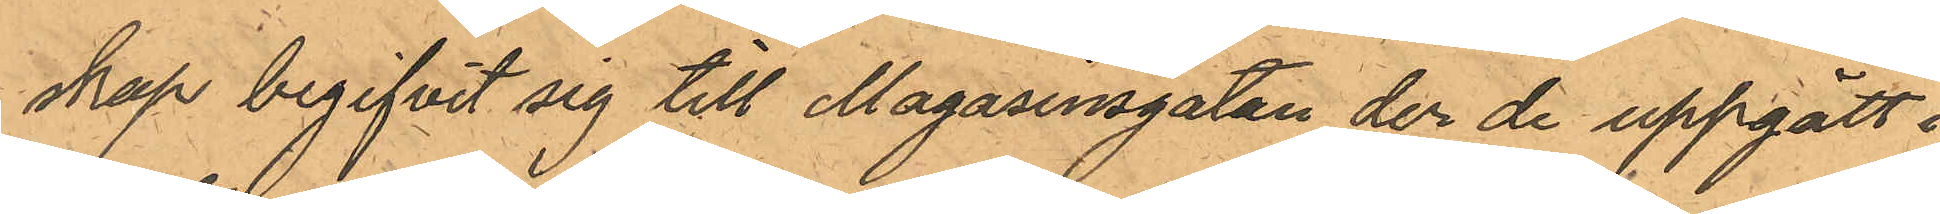skap begifvit sig till Magasinsgatan der de uppgått i
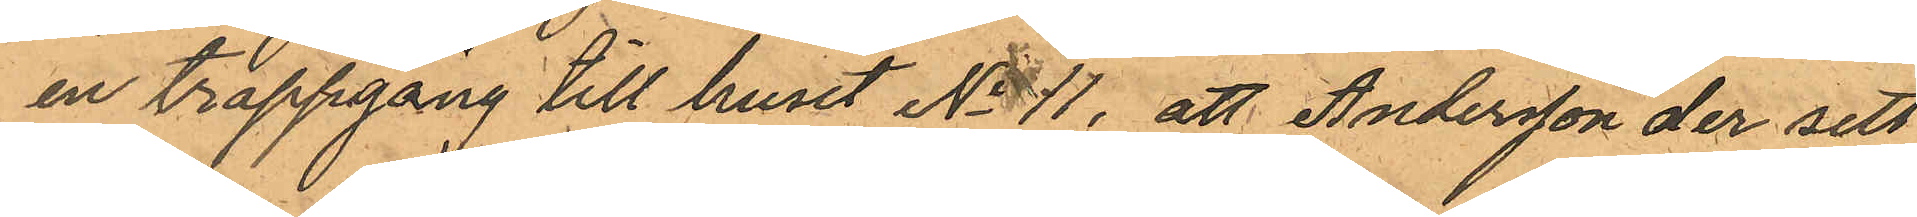en trappgång till huset No 11, att Andersson der sett
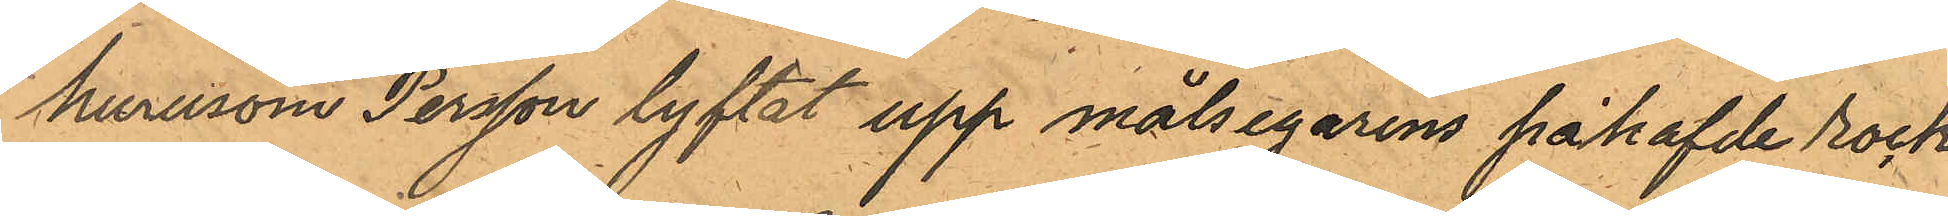hurusom Persson lyftat upp målsegarens påhafvde rock
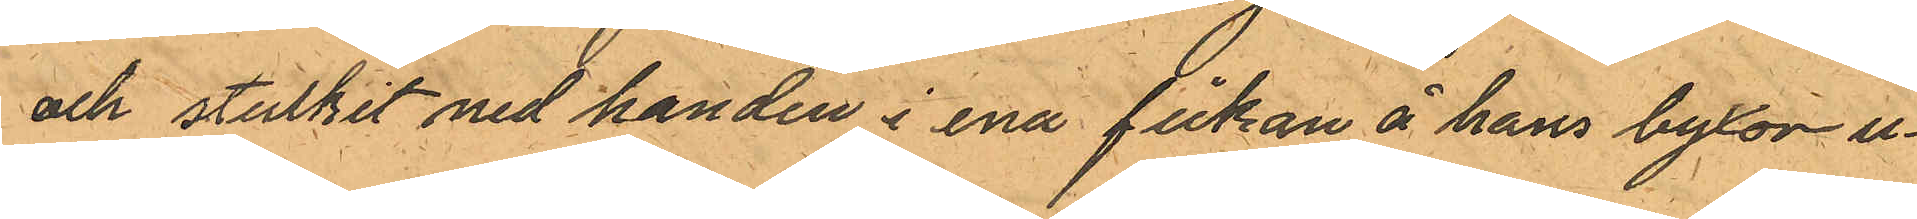och stuckit ned handen i ena fickan å hans byxor u¬
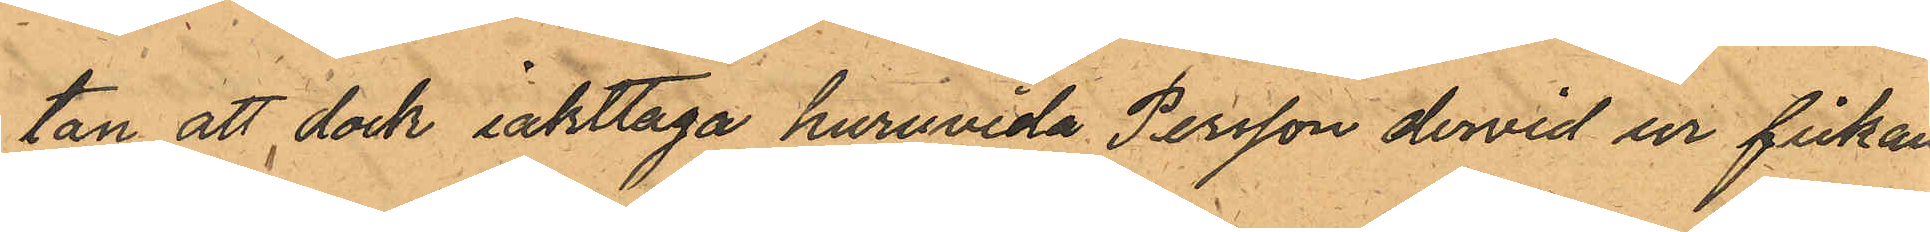tan att dock iakttaga huruvida Persson dervid ur fickan
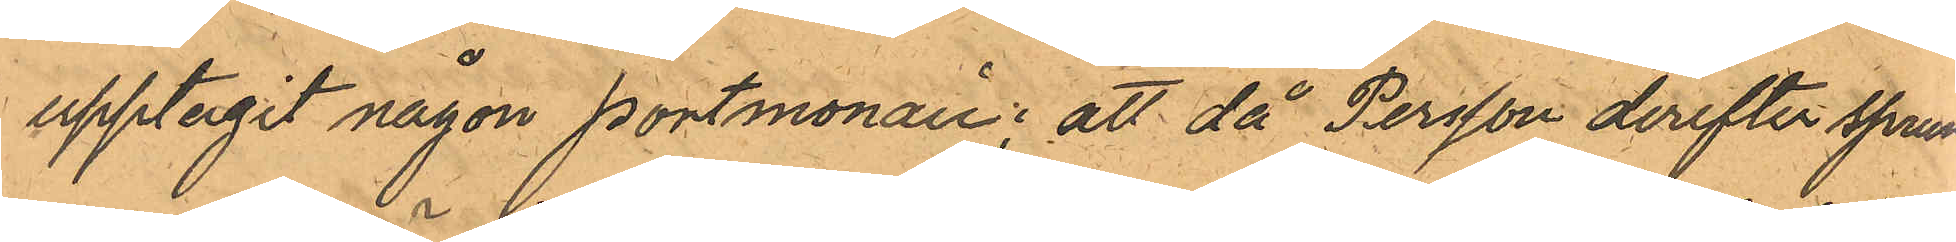upptagit någon portmonaie; att då Persson derefter sprun¬
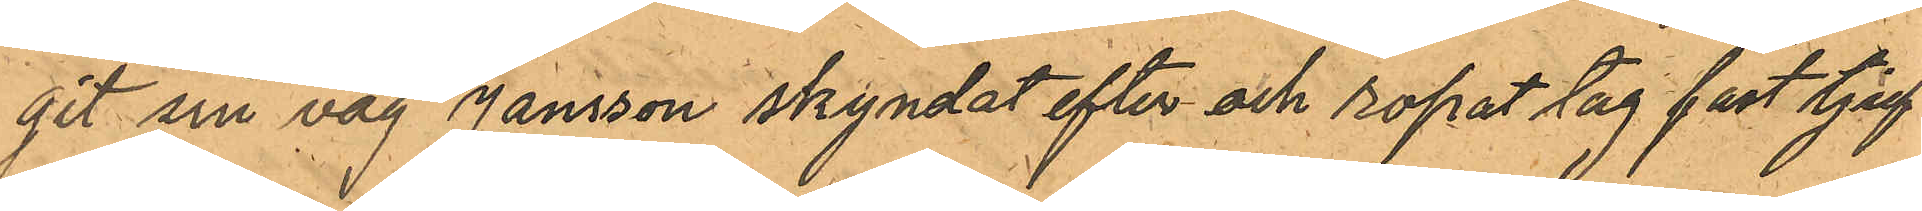git sin väg Jansson skyndat efter och ropat tag fast tjuf¬
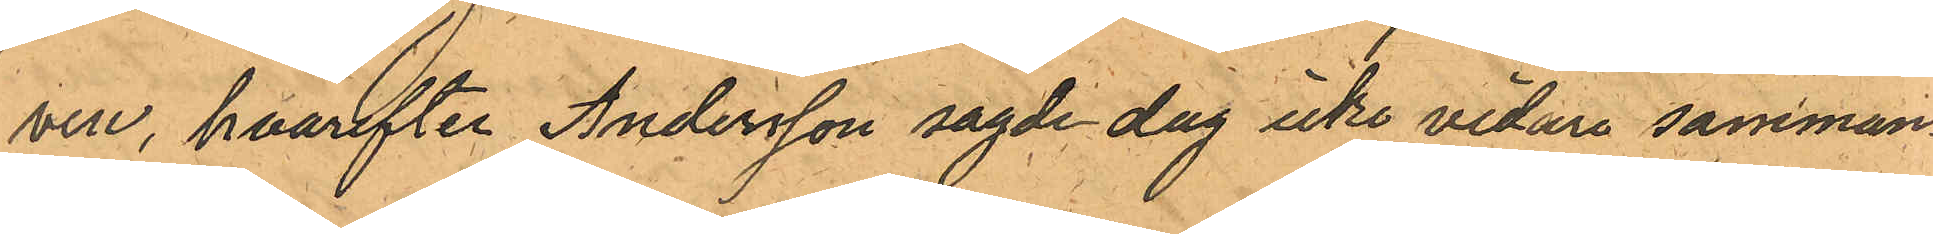ven, hvarefter Andersson sagde dag icke vidare samman¬
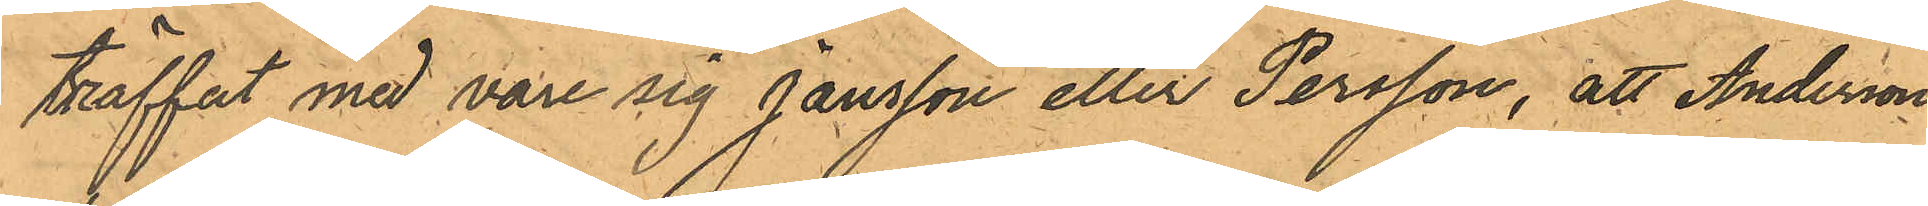träffat med vore sig Jansson eller Persson, att Anderson
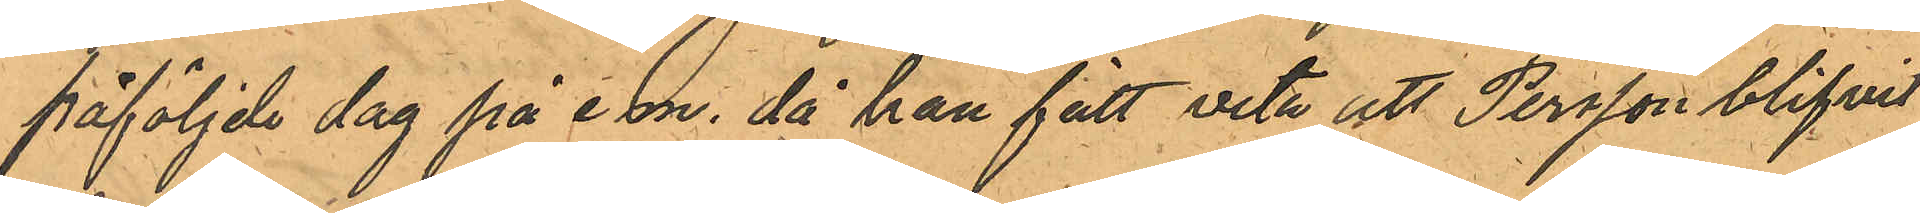påföljde dag på e.m. då han fått veta att Persson blifvit
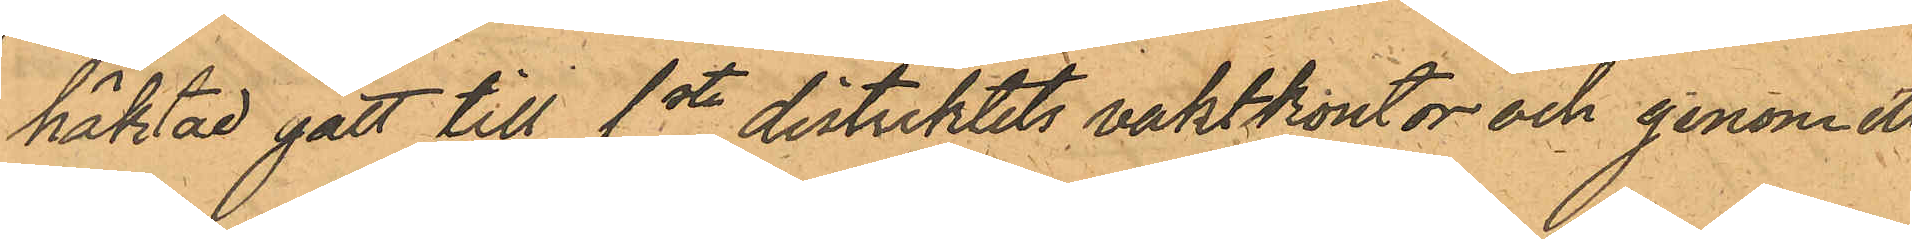häktad gått till 1ste distriktets vaktkontor och genom ett
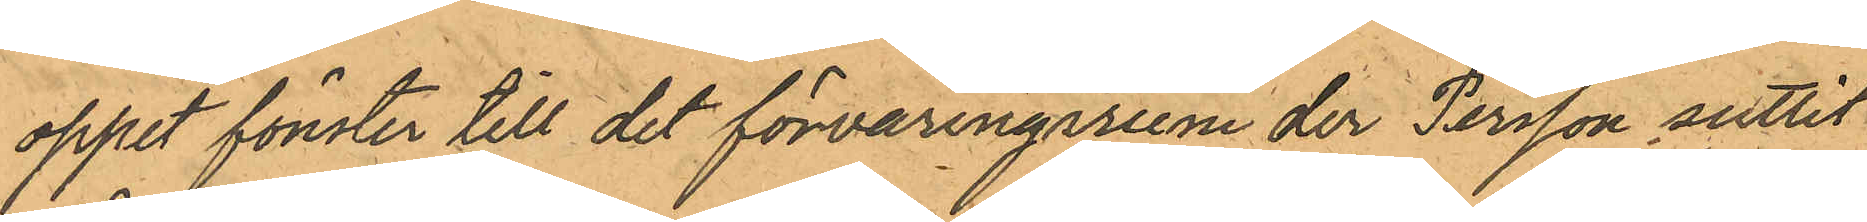oppet fönster till det förvaringerum der Persson suttit
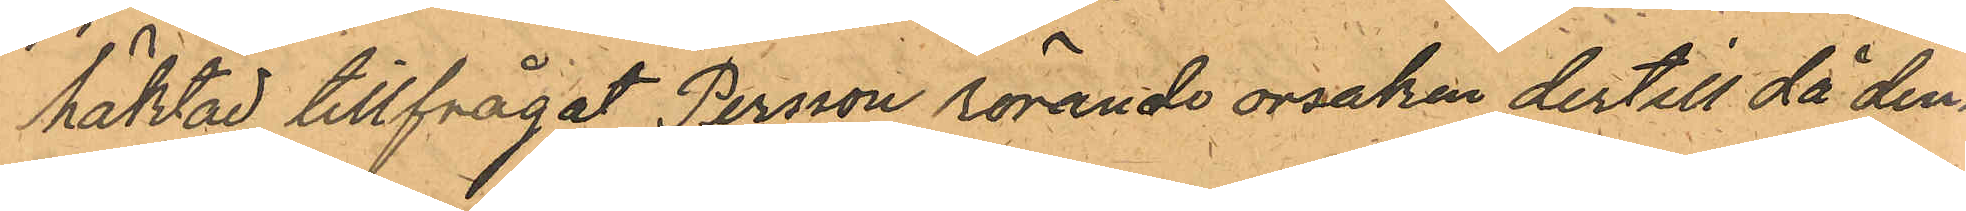häktad tillfrågat Persson rörande orsaken dertill då den¬
